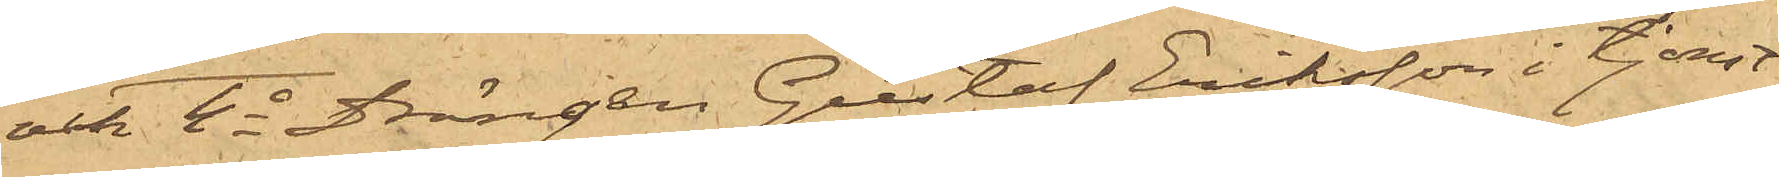och 4o Drängen Gustaf Eriksson i tjenst
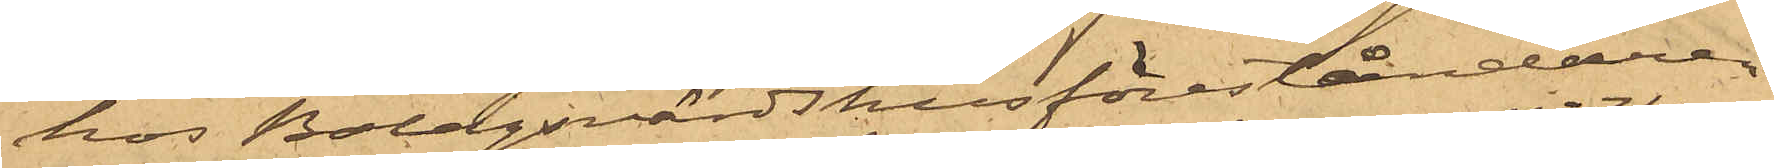hos Bolagsvärdshusföreståndare
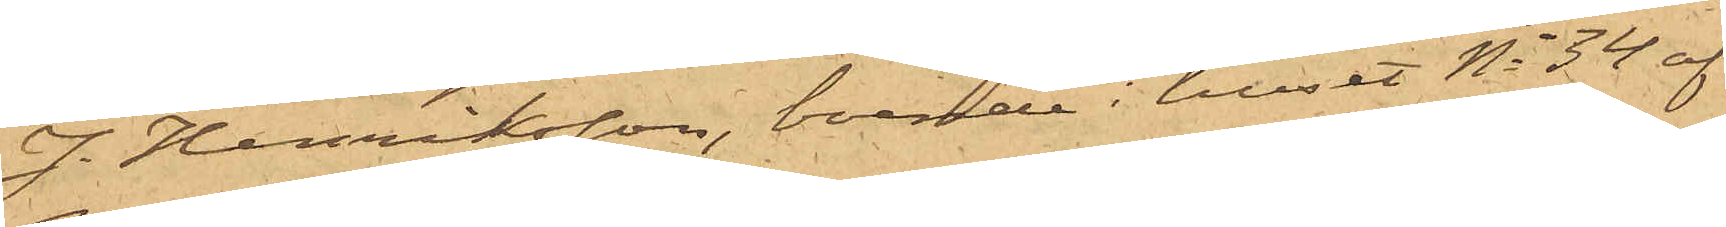J. Henriksson, boende i huset No 34 af
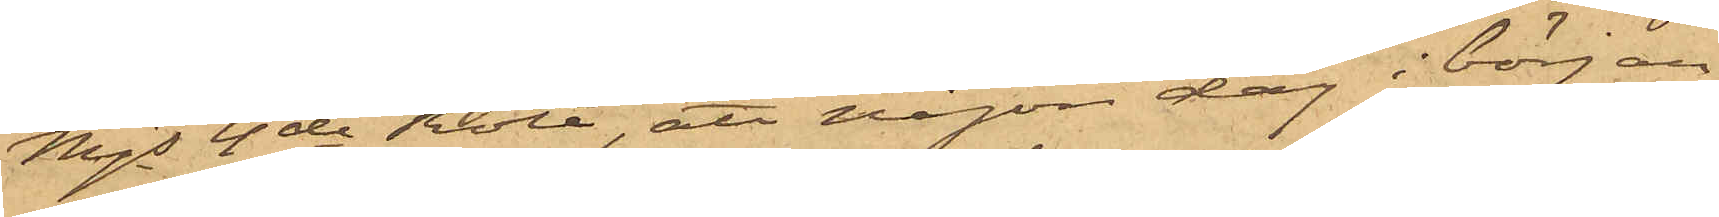Majs 4de Rote, att någon dag i början
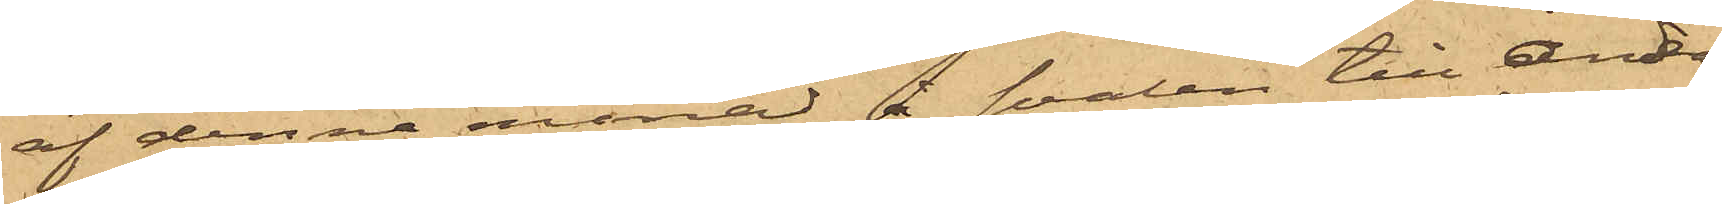af denna månad å svalen till andra
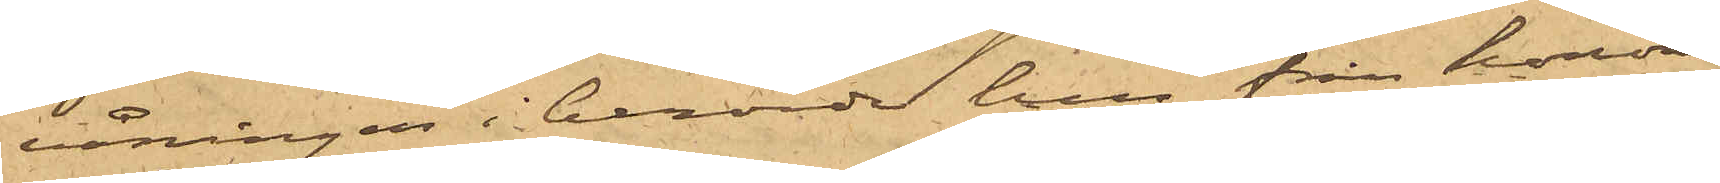våningen i berörde hus från honom
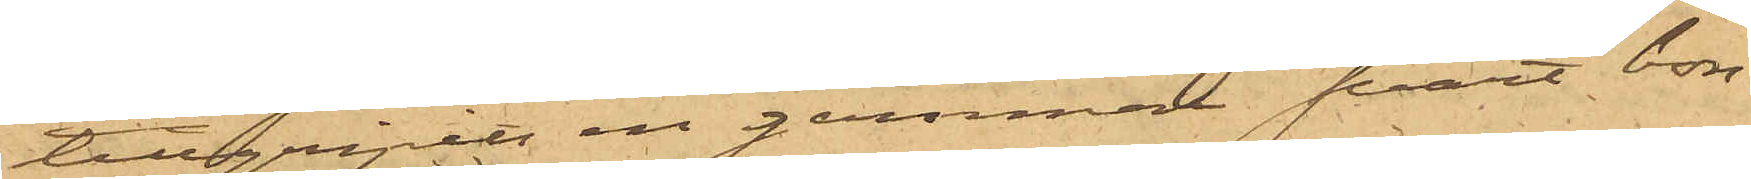tillgripits en gammal svart bon¬
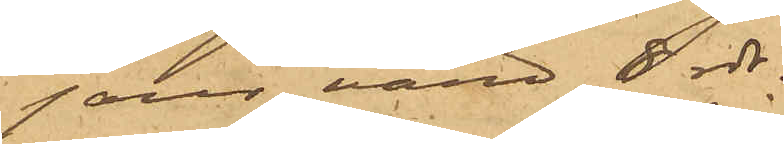jour, värd 8 rdr.
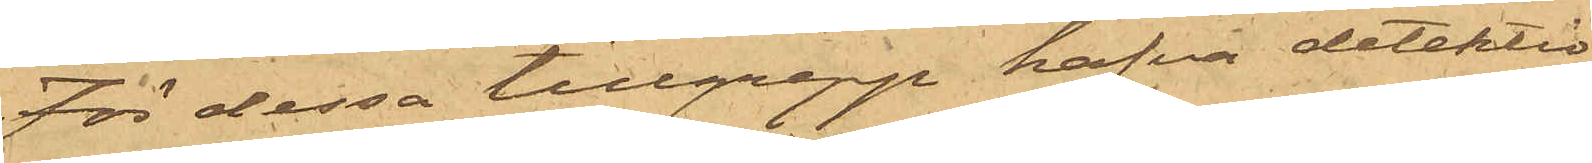För dessa tillgrepp hafva detektiv¬
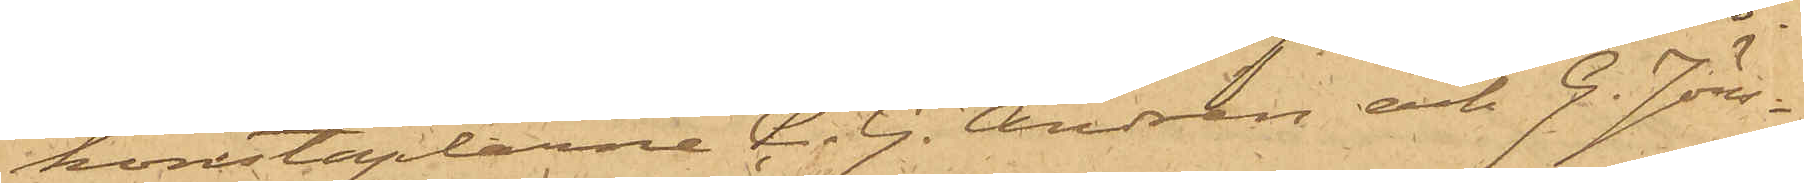konstaplarne C. G. Andrén och G. Jöns¬
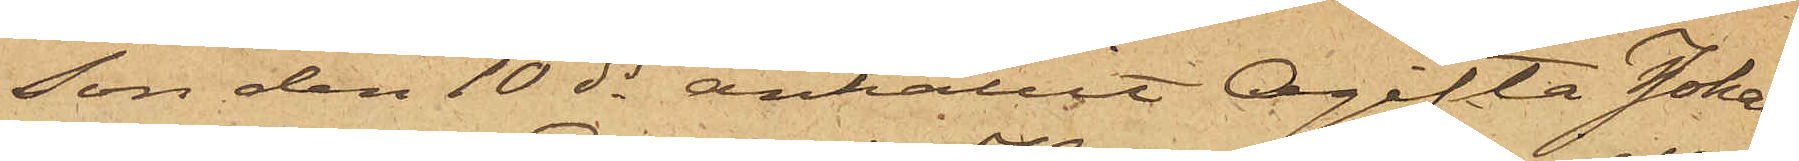son den 10 ds anhållit Ogifta Johan¬
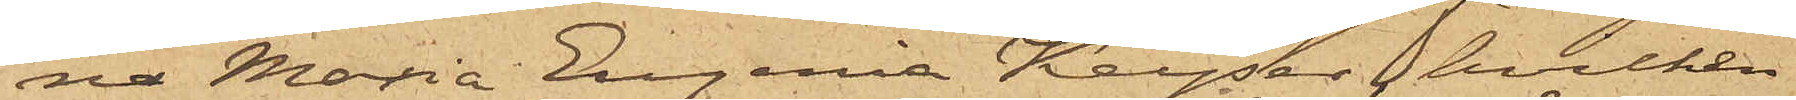na Maria Eugenia Keyser, hvilken
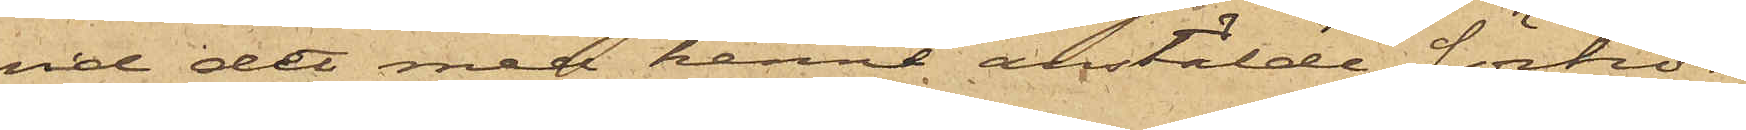vid det med henne anstälde förhör
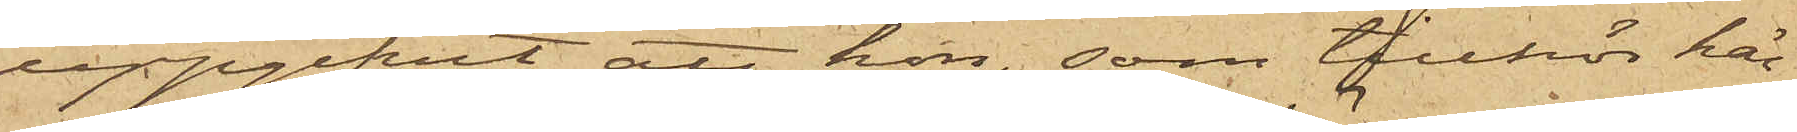uppgifvit, att hon, som tillhör här¬
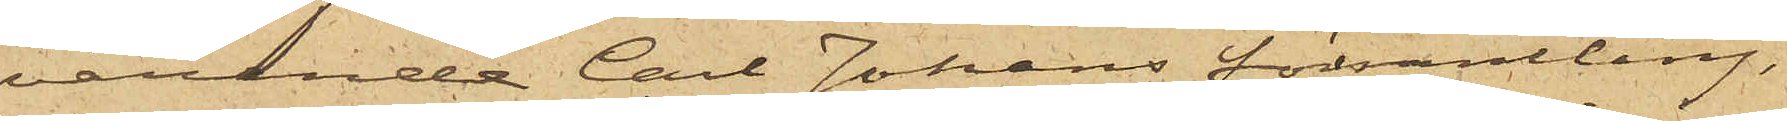varande Carl Johans församling,
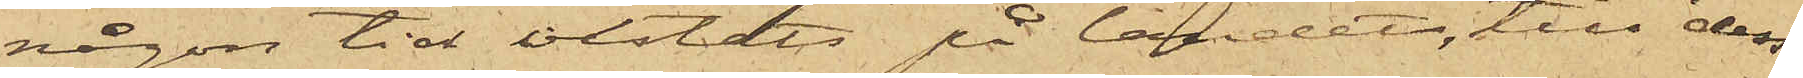någon tid vistats på landet, till dess
